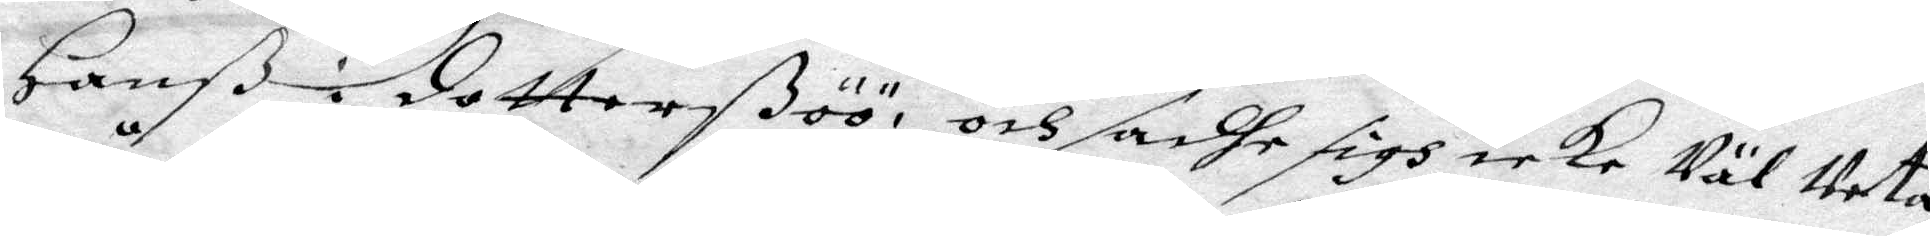Hanß i dotterßöö, och sadhe sigh icke Väl Veta
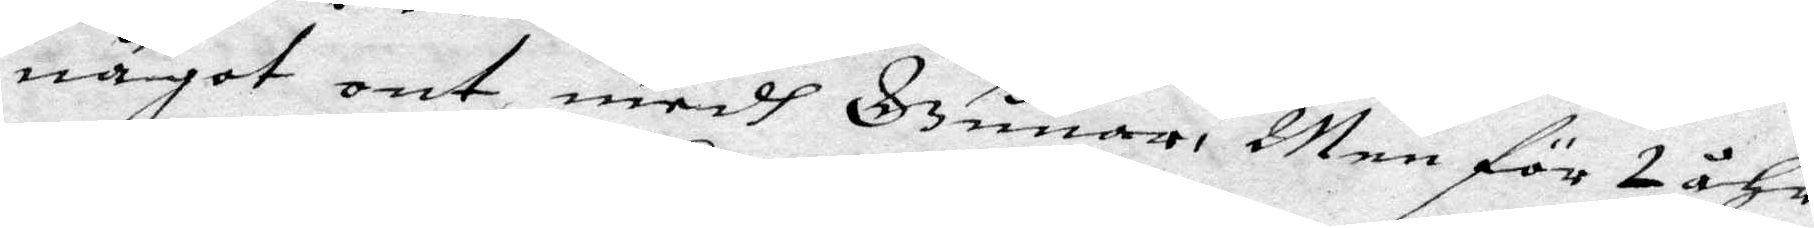något ont medh Gunar. Men för 2 åhr
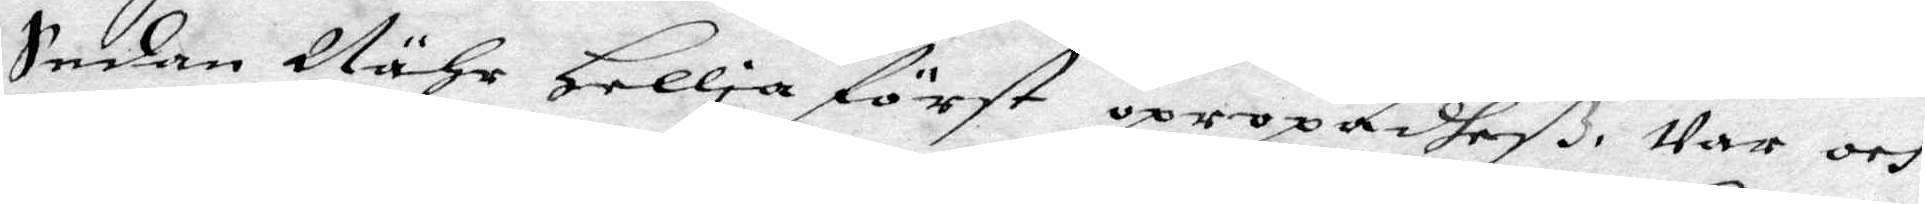Sedan Nähr Hellia först opropadheß. war och
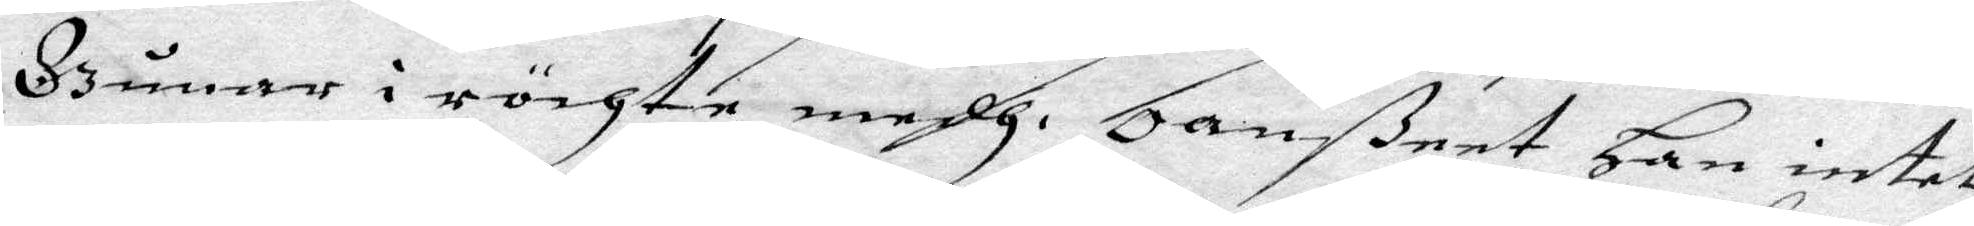Gunar i röchte medh. Oanßeet Han intet
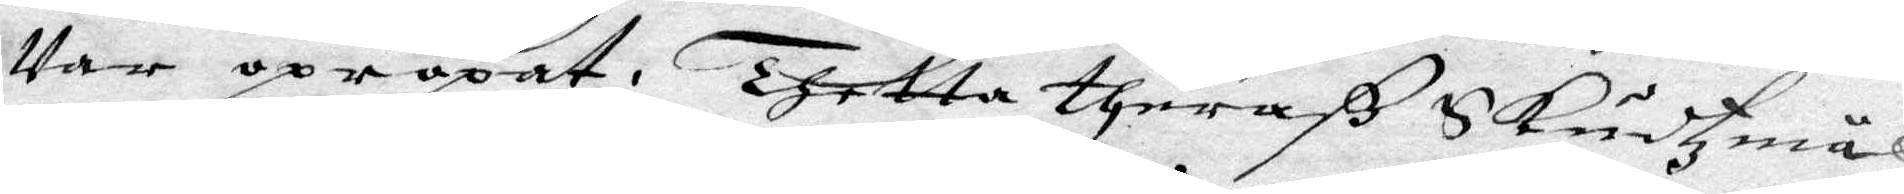Var opropat. Thetta theraß Skudzmål
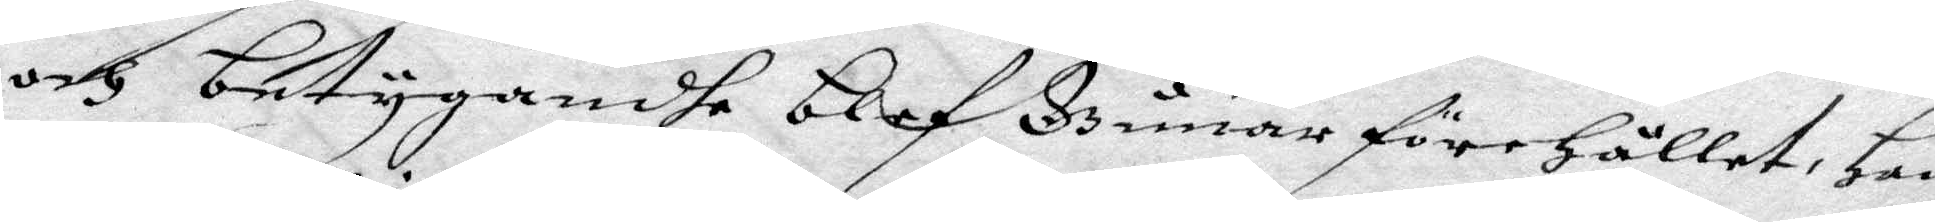och betygandhe blef Gunar förehållet, Han
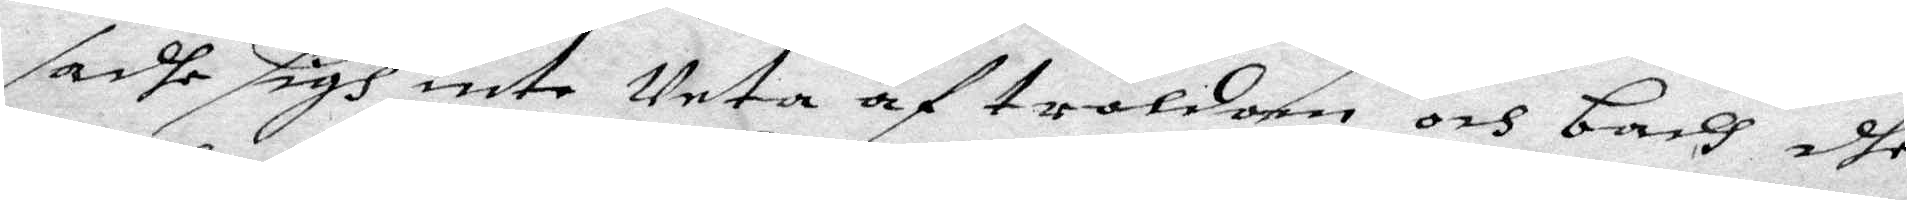sadhe sigh inte Veta af troldom och badh dhe
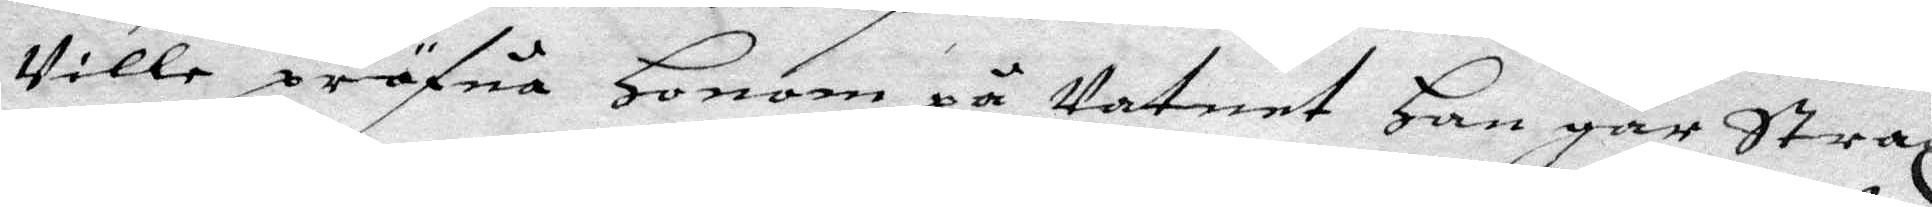wille pröfua Honom på watnet Han går Strax
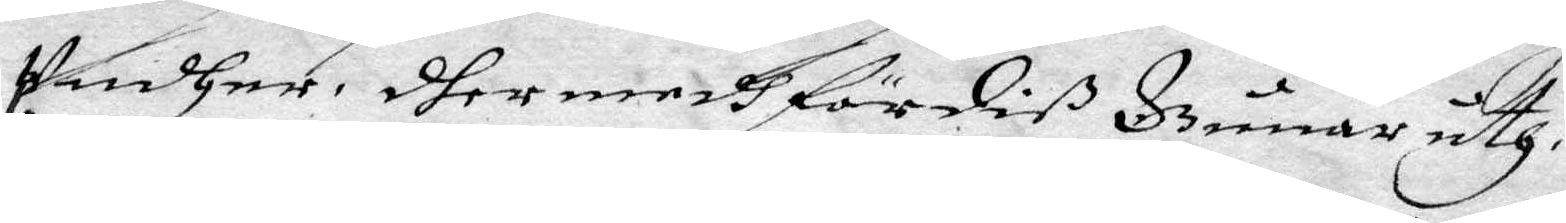Undher, dher medh fördiß Gunar uth. Och Börta
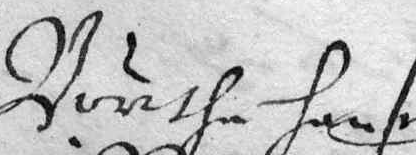Börtha hans
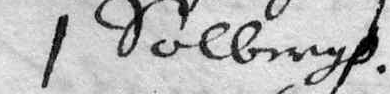i Solbergh.
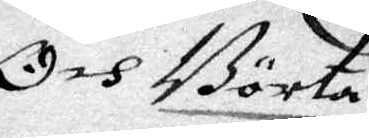Och Börta
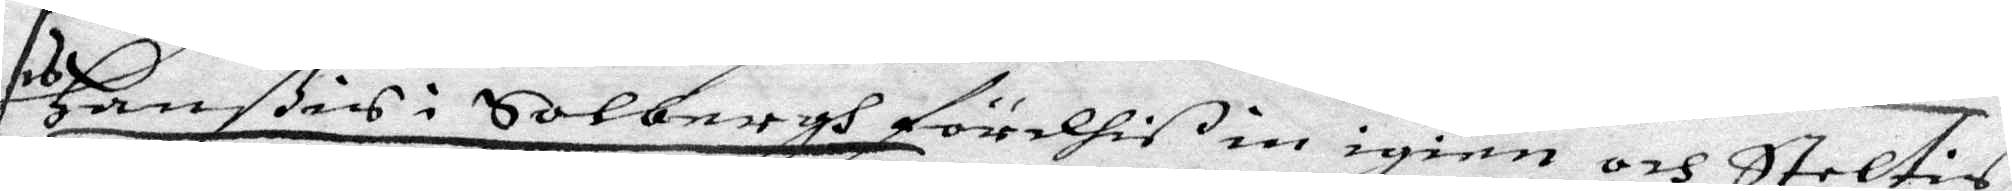Hanßons i Solbergh fördhis in igien och Steltis
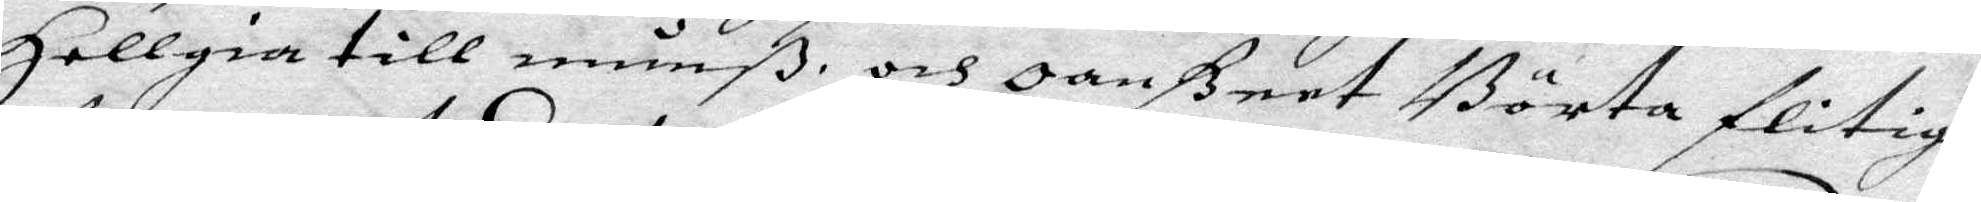Hellgia till munß och oanßeet Börta flitigh
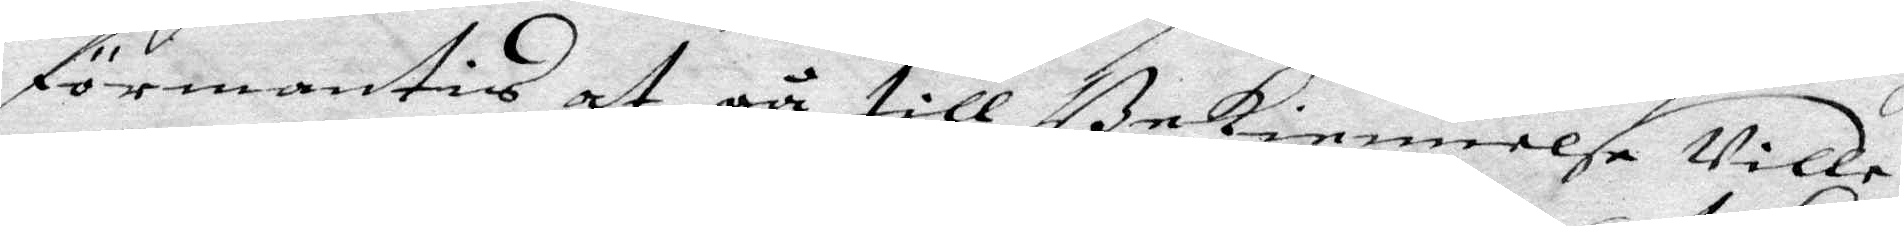förmantis at gå till Bekiennelse wille
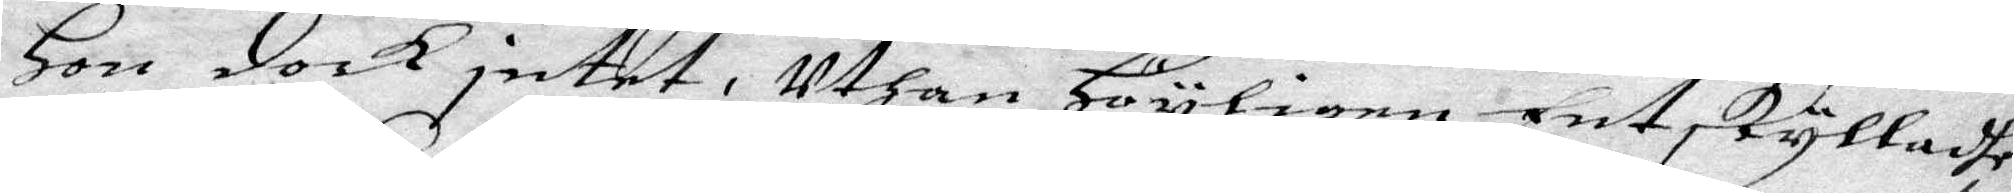Hon dock intet, uthan Högligen Entskylladhe
